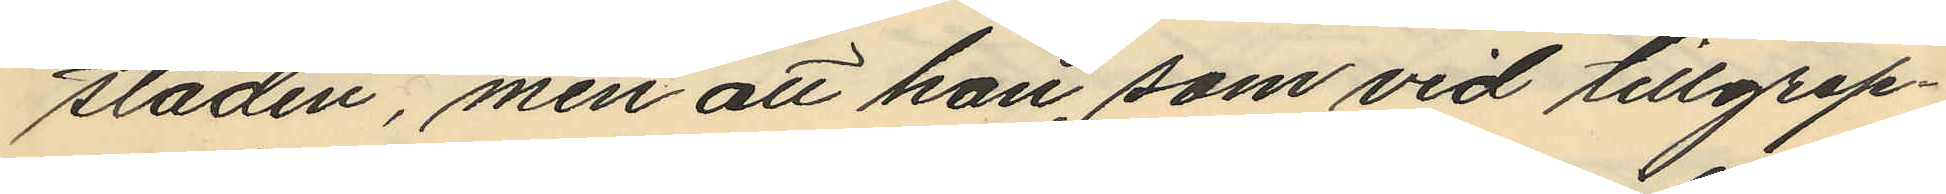staden, men att han, som vid tillgrep¬
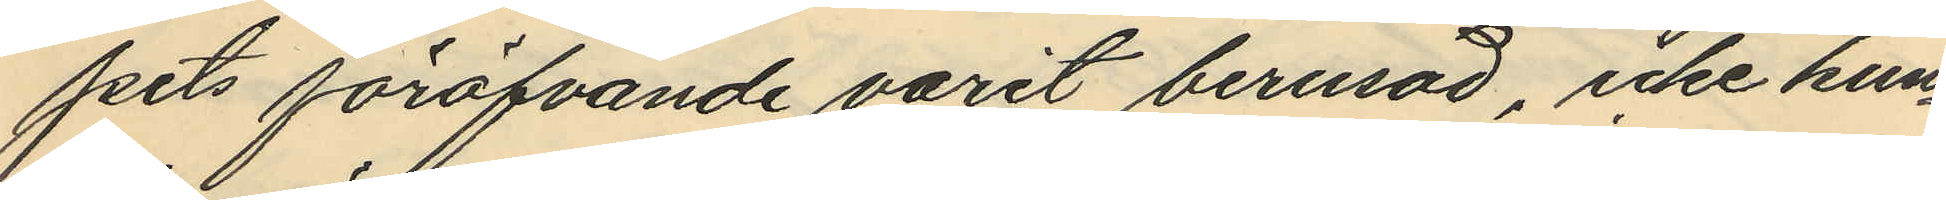pets föröfvande varit berusad, icke kun¬
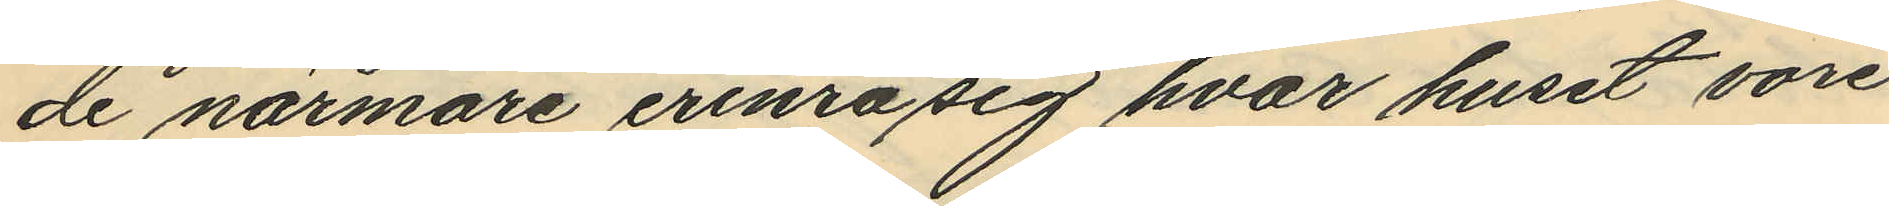de närmare erinra sig hvar huset vore
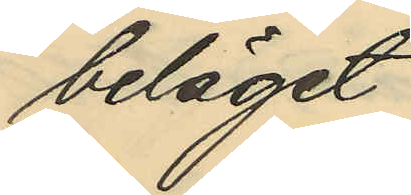beläget.
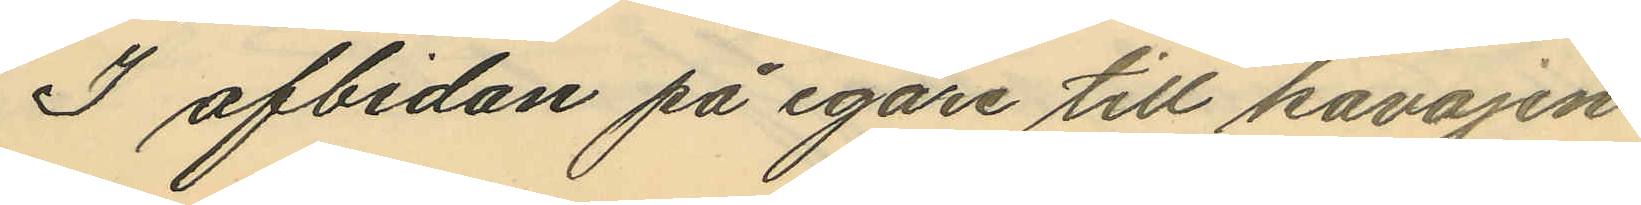I afbidan på egare till kavajen
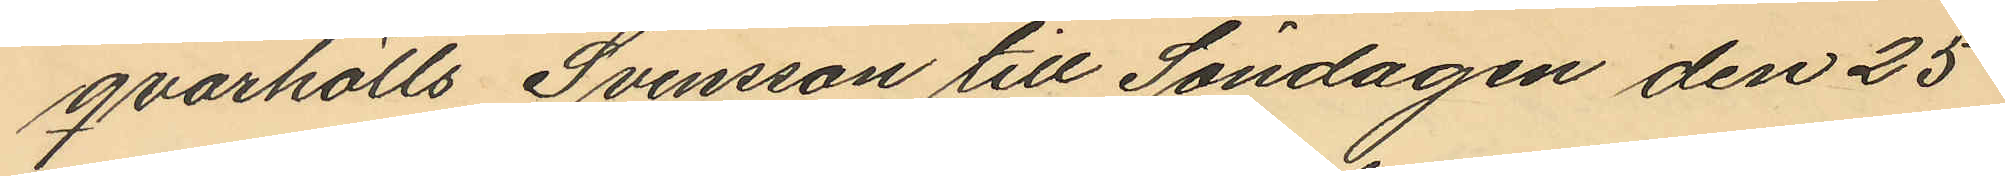qvarhölls Svensson till Söndagen den 25
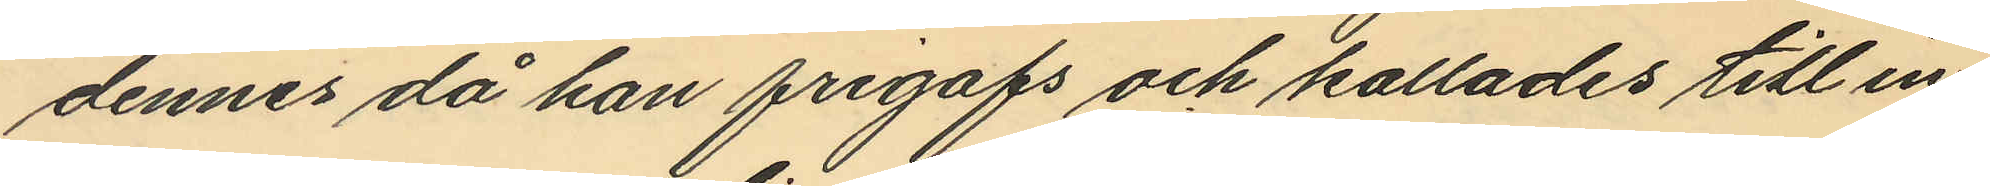dennes då han frigafs och kallades till in¬
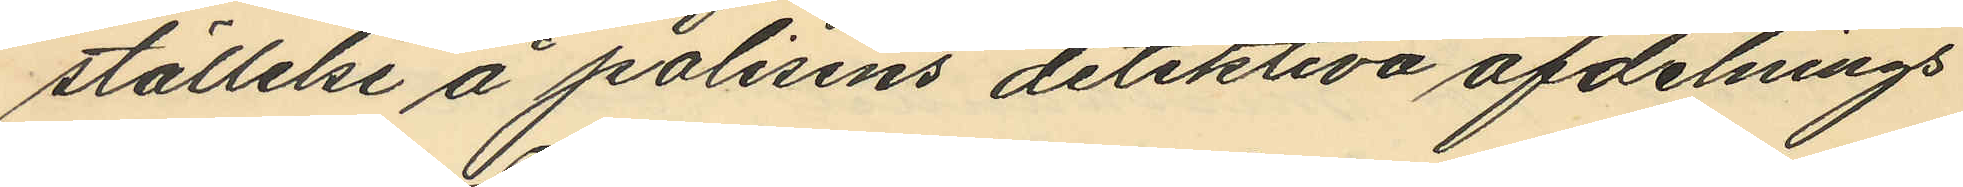ställelse å polisens detektiva afdelnings
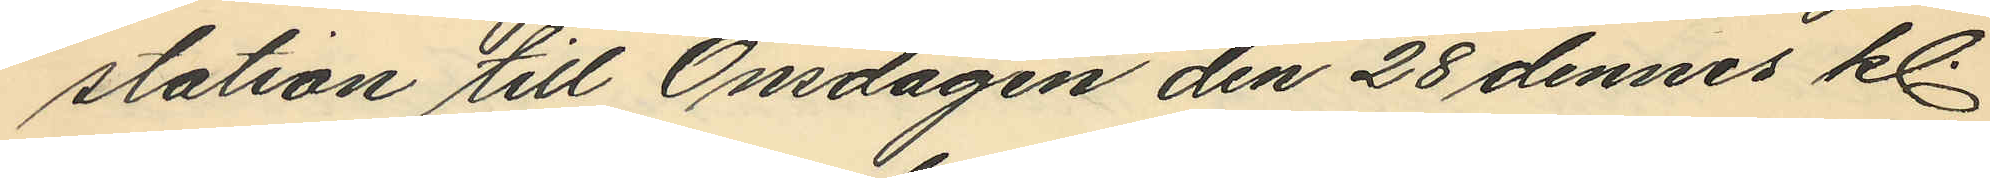station till Onsdagen den 28 dennes kl.
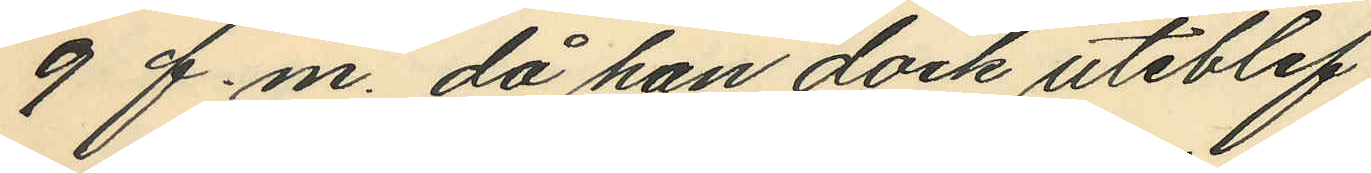9 f.m. då han dock uteblef.
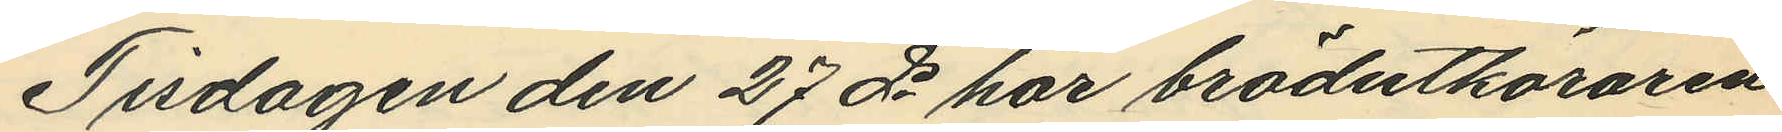Tisdagen den 27 ds har brödutköraren
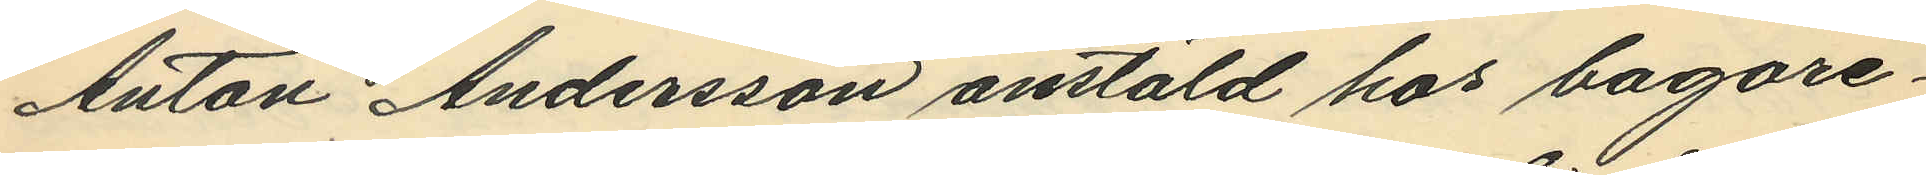Anton Andersson anstäld hos bagare¬
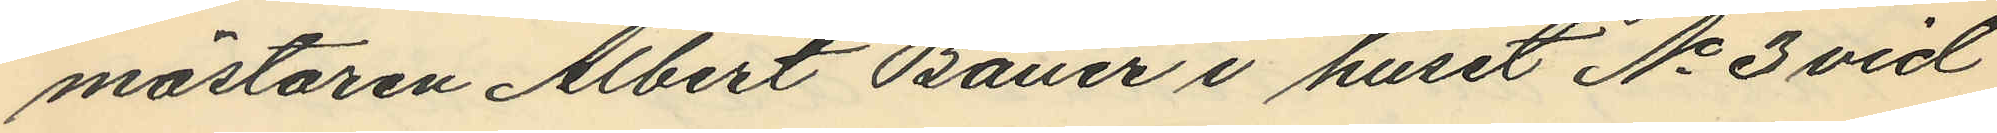mästaren Albert Bauer i huset No 3 vid
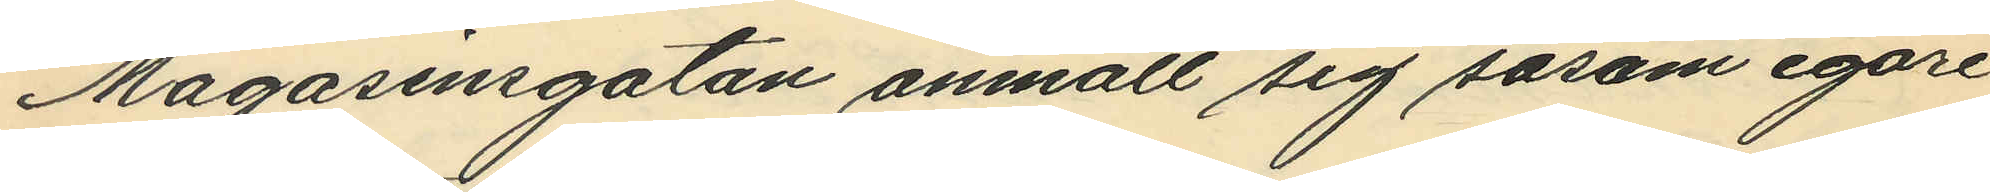Magasinsgatan anmält sig såsom egare
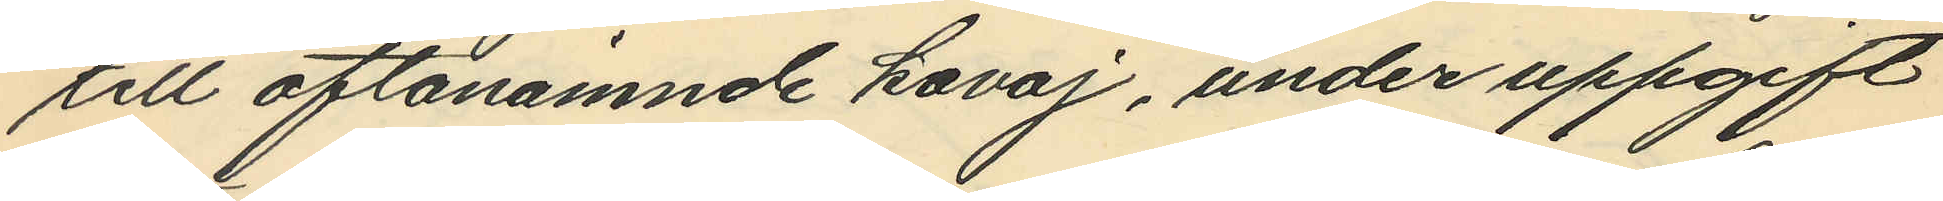till oftanämnde kavaj, under uppgift
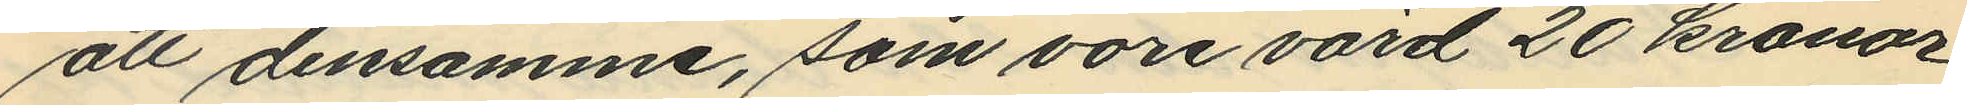att densamme, som vore värd 20 kronor,
